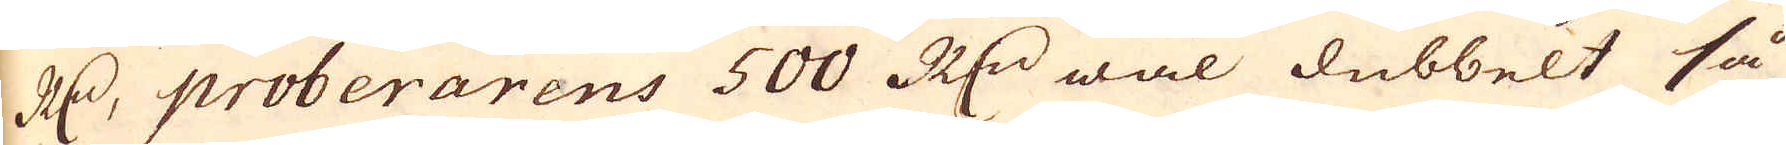R:dr, proberarens 500 R:dr wäl dubbelt så
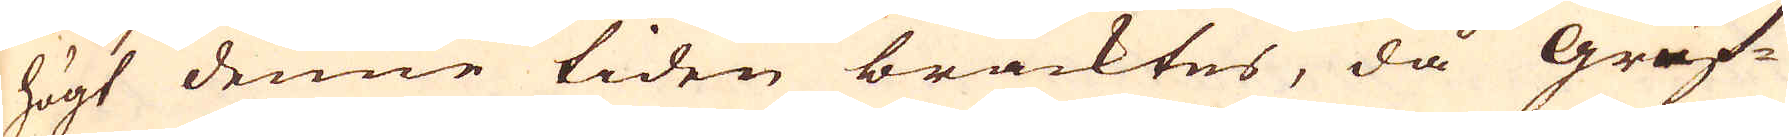högt denne tiden bracktes, då gruf-
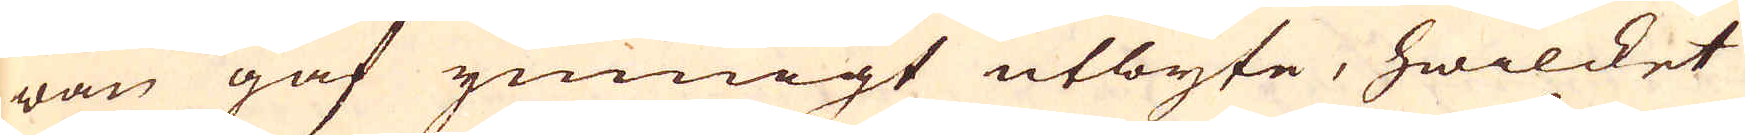wan gaf ymnigt utbyte, hwilcket
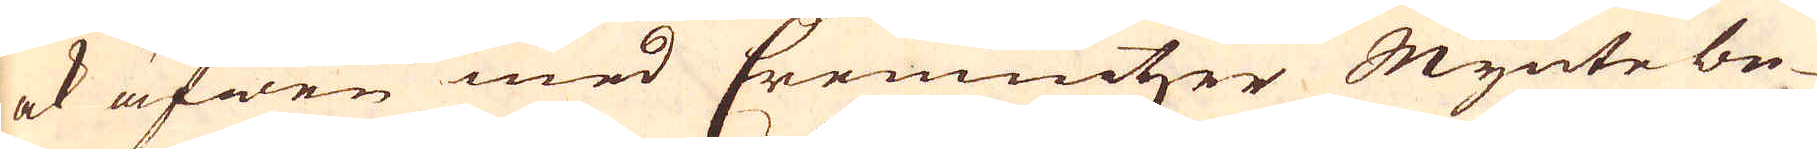ock äfwen med Cremnitzer Mynte be-
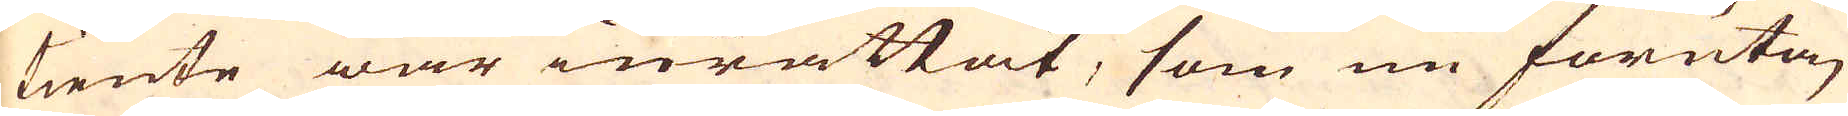tiente war inrättat, som nu förutan
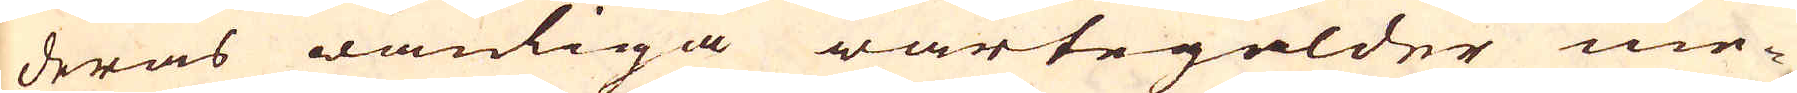deras wanliga wartegälder me-
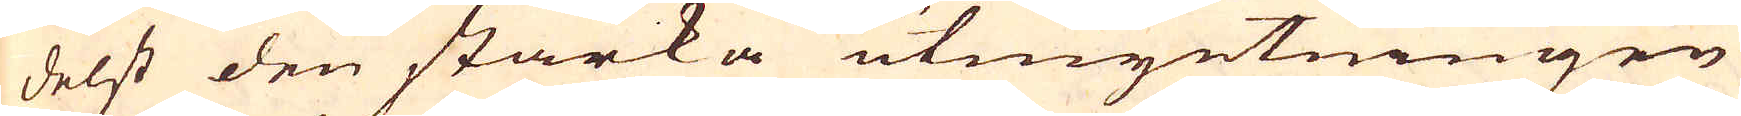delst den starka utmyntningen
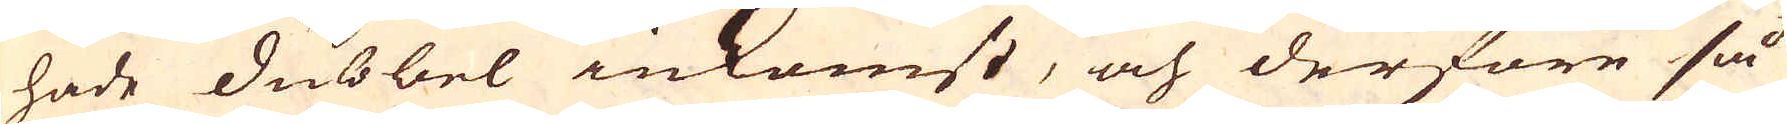hade dubbel inkomst, och derföre så
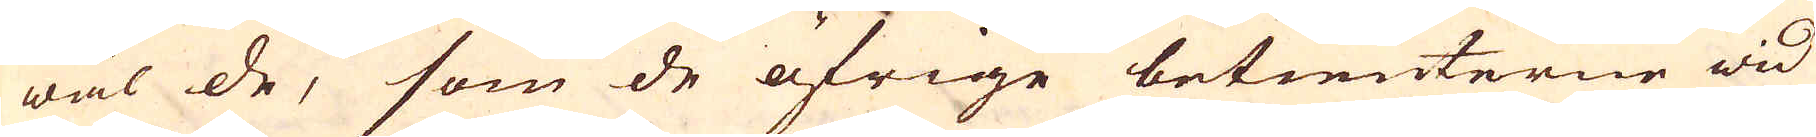wäl de, som de öfrige betienterne wid
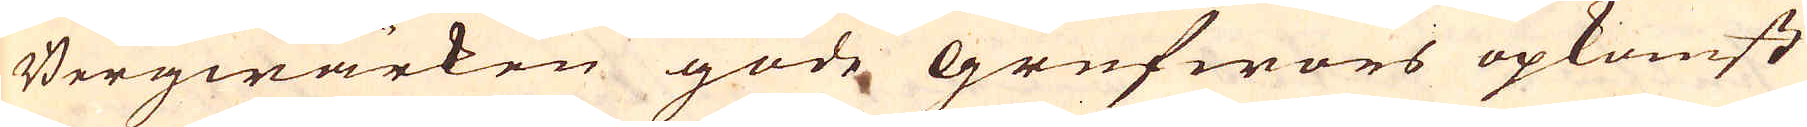Bergwärken gode grufwors opkomst
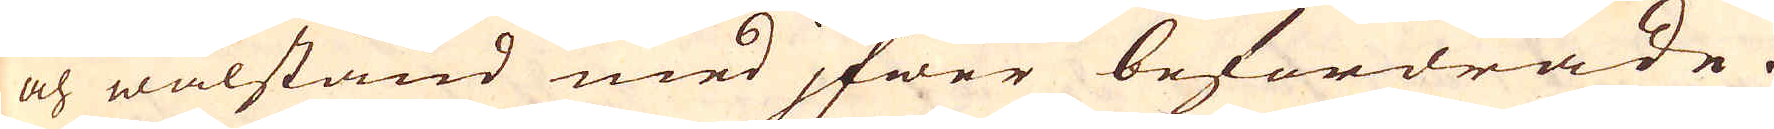och wälstånd med jfwer befordrade.
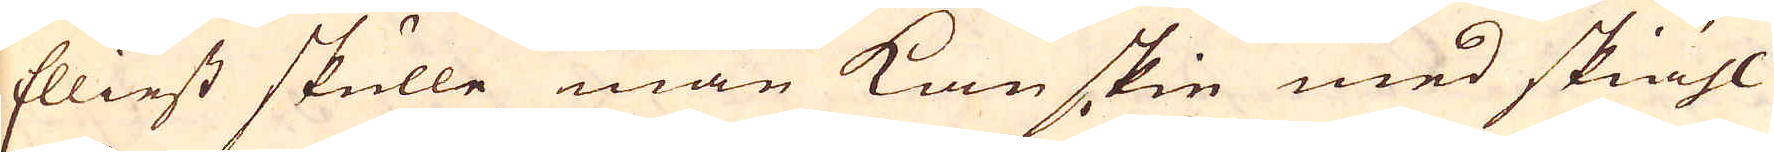Elliest skulle man kanskie med skiähl
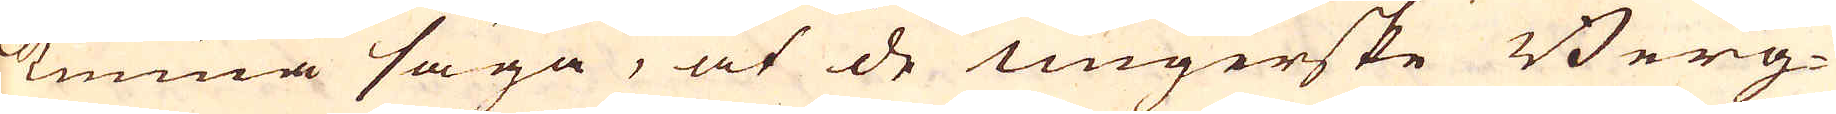kunna säga, at de ungerske Berg-
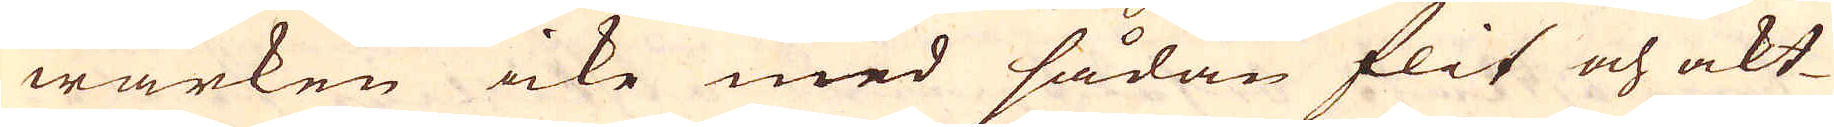wärken icke med sådan flit och akt-
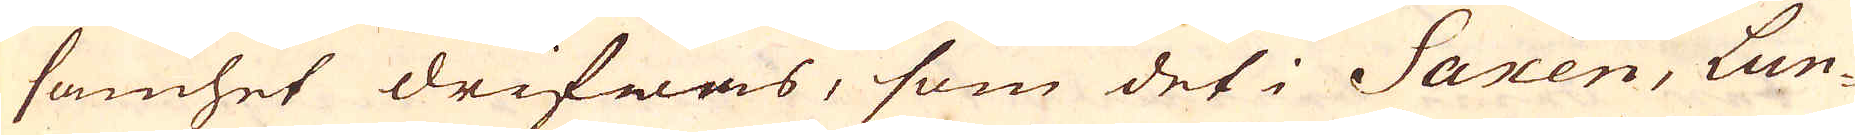samhet drifwas, som det i Saxen, Lun-
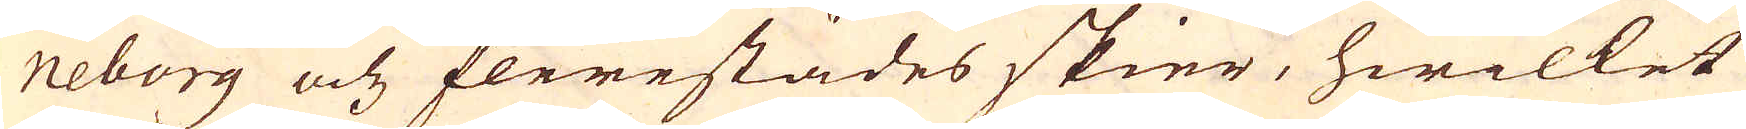neborg och flerestädes skier, hwilket
